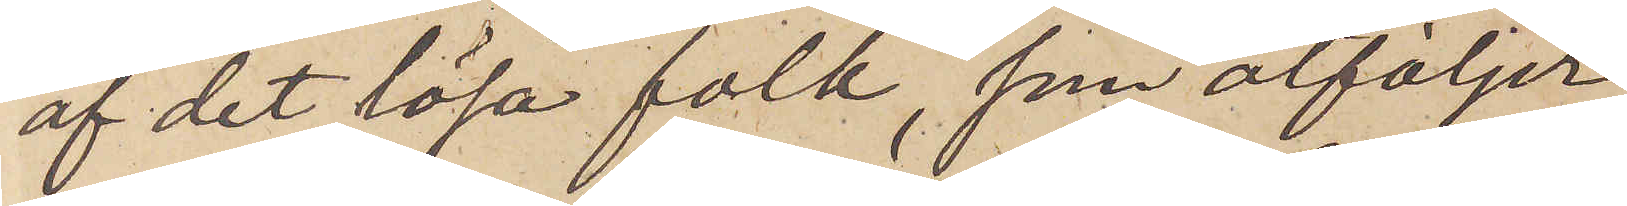af det lösa folk, som åtföljer
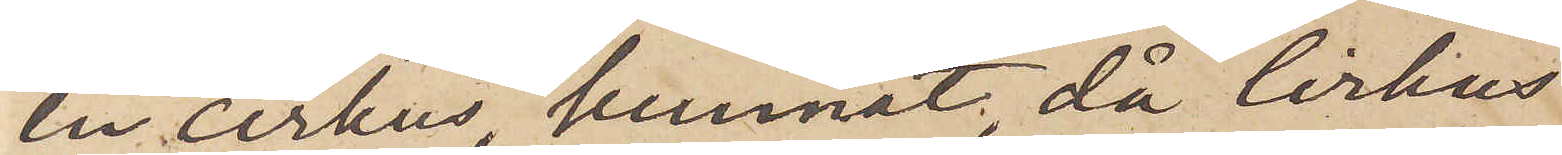en cirkus, kunnat, då Cirkus
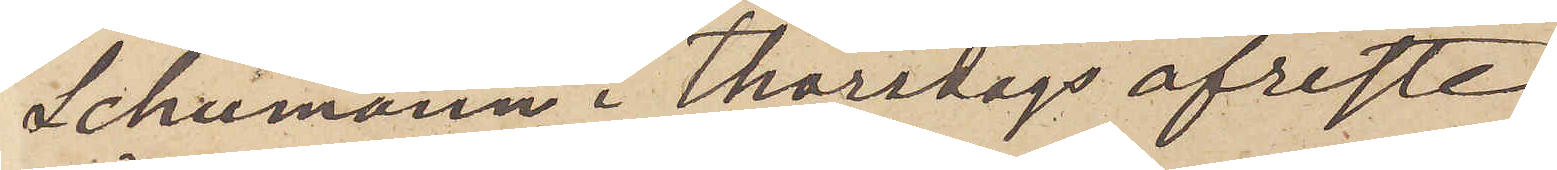Schumann i Thorsdags afreste
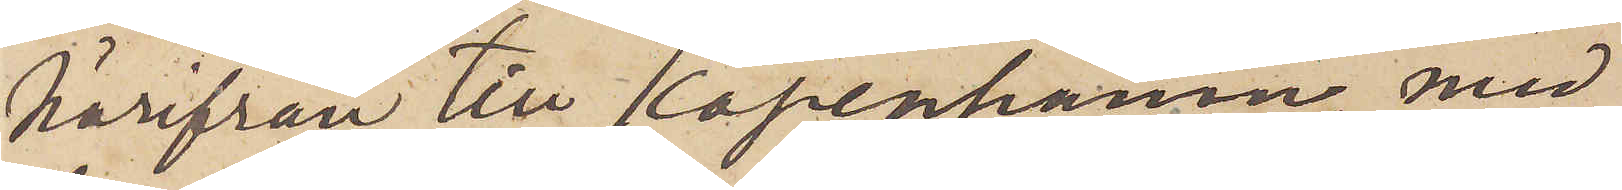härifrån till Köpenhamn, med¬
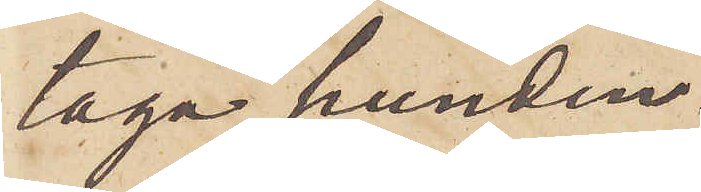taga hunden.
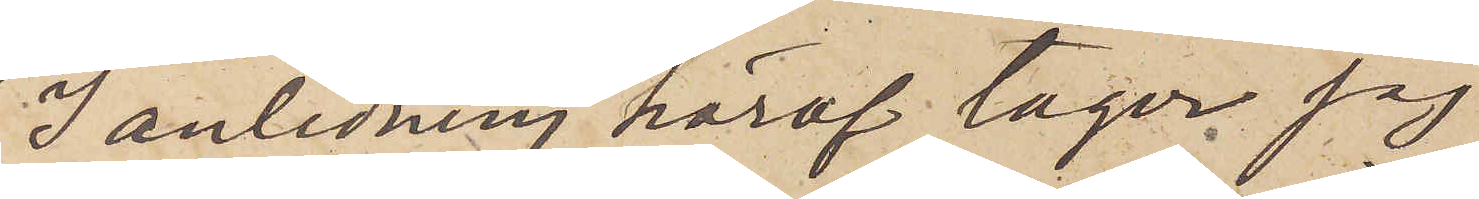I anledning häraf tager jag
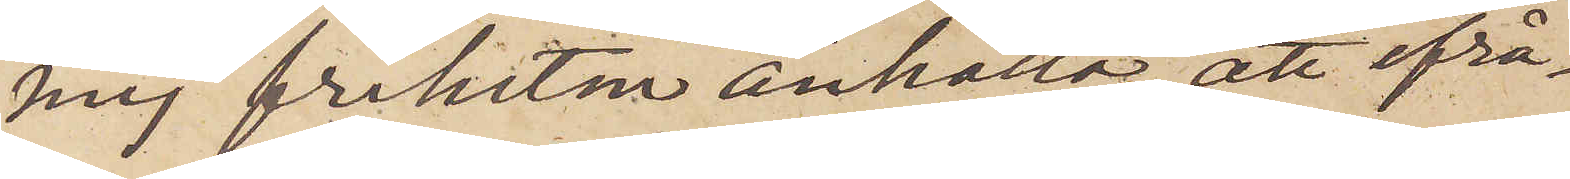mig friheten anhålla, att ifrå¬
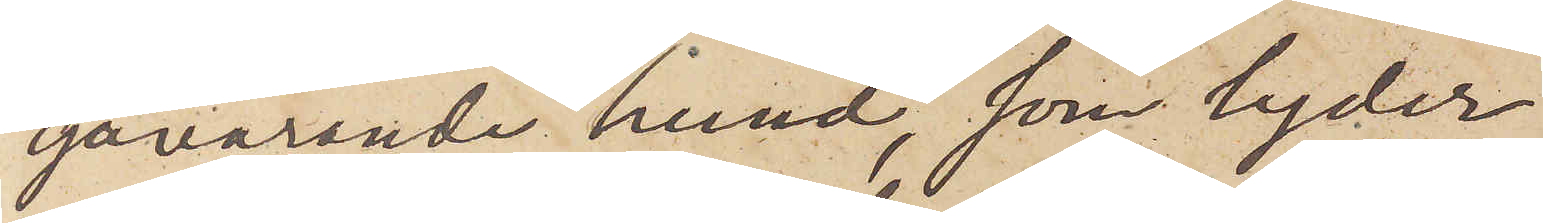gavarande hund, som lyder
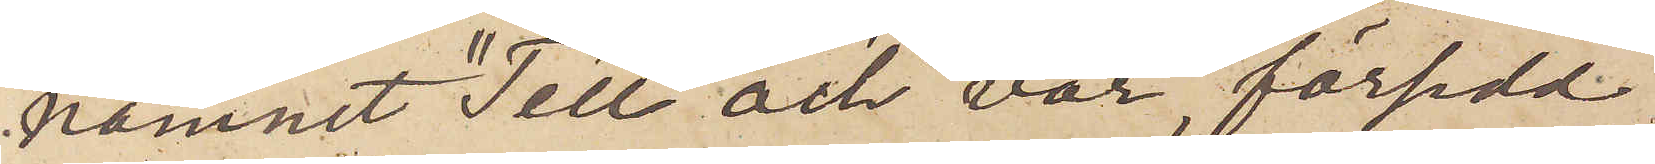namnet "Tell" och var försedd
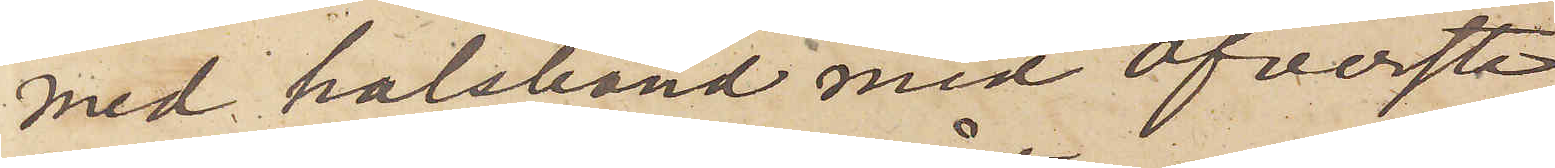med halsband med Öfverste
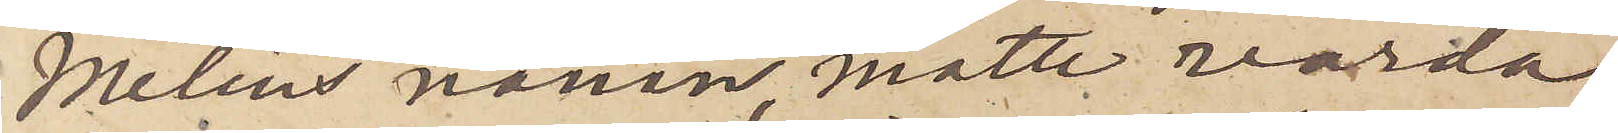Melins namn, måtte varda
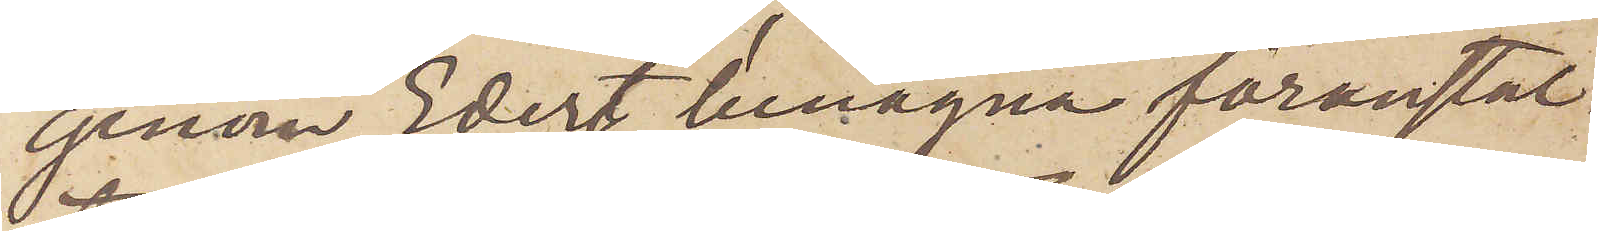genom Edert benägna föranstal¬
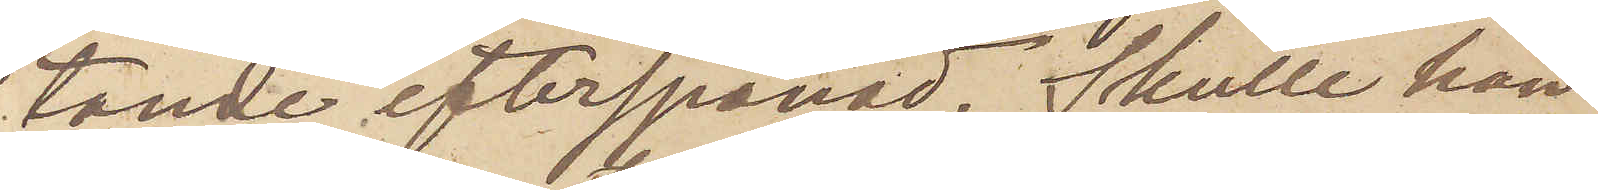tande efterspanad. Skulle han
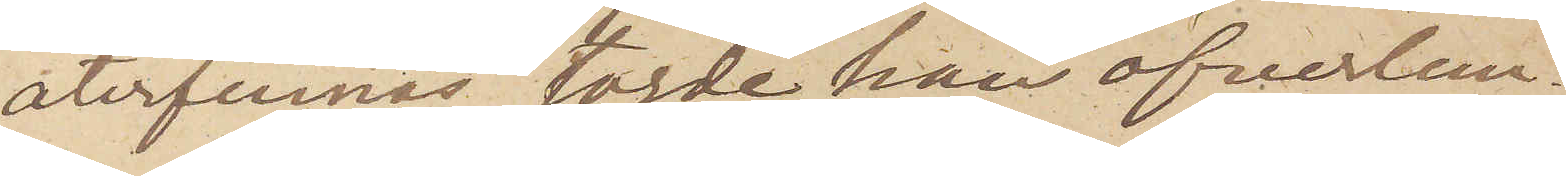återfinnas torde han öfverlem¬
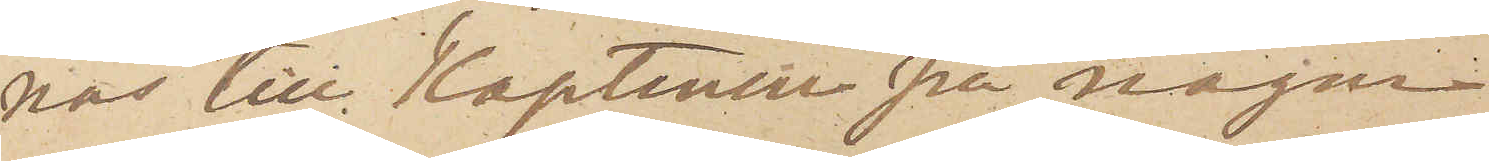nas till Kaptenen på någon
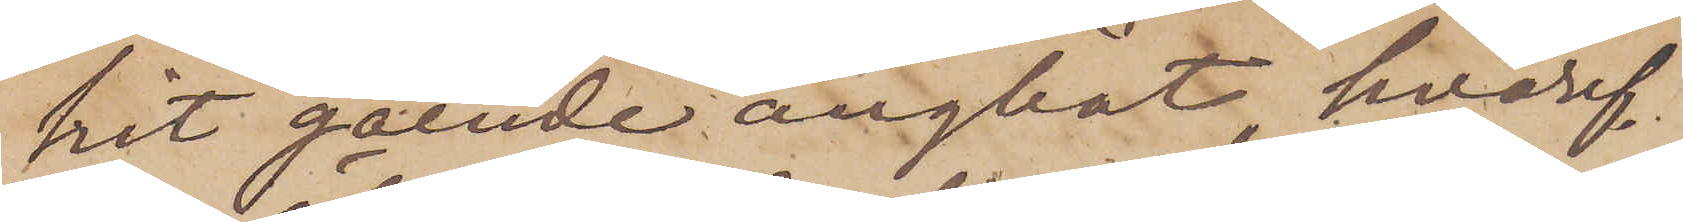hit gående ångbåt, hvaref¬
